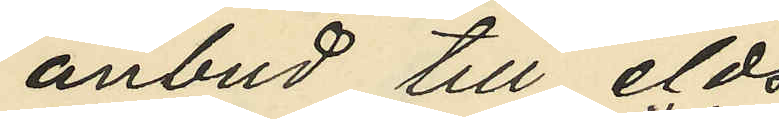anbud till eld¬
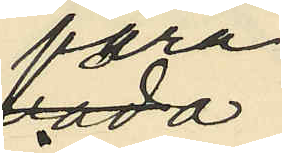fara
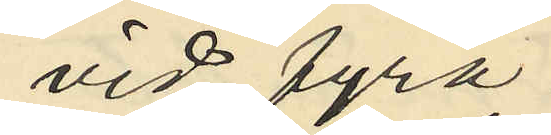vid fyra
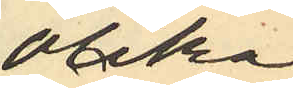olika
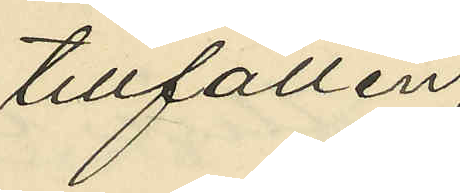tillfällen
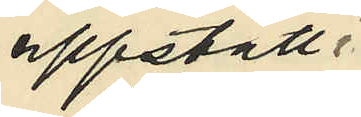uppstått i
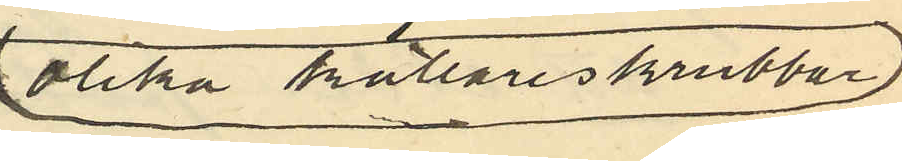olika källareskrubbar
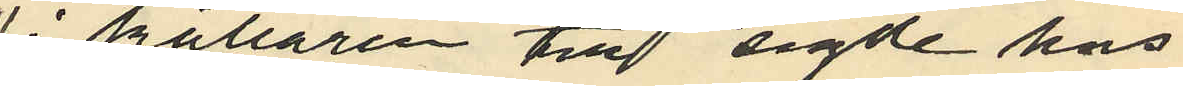i källaren till sagde hus,
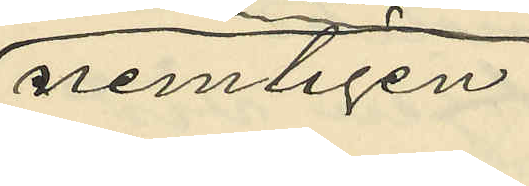nemligen:
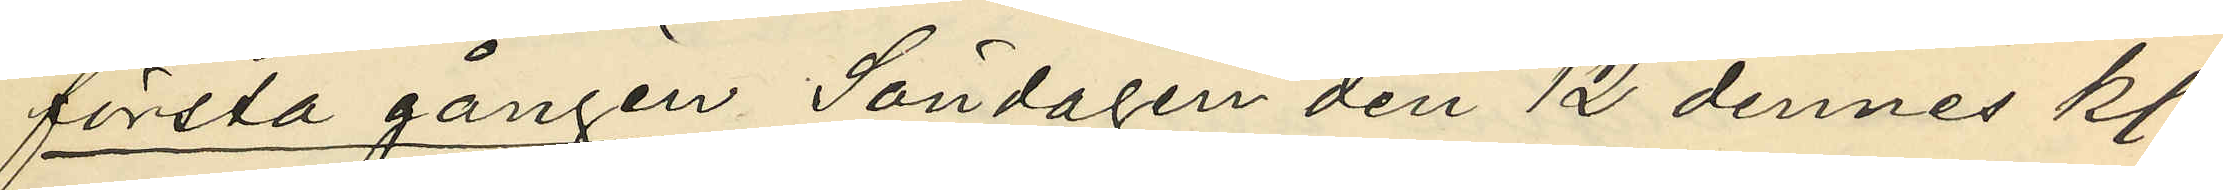första gången Söndagen den 12 dennes kl.
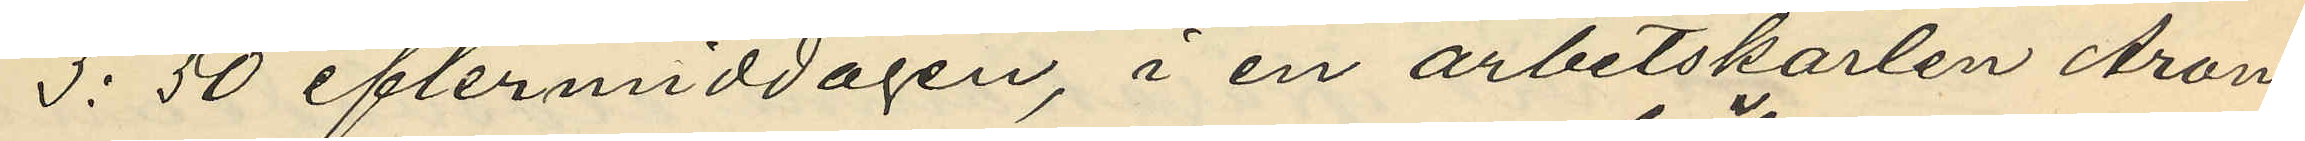3:50 eftermiddagen, i en arbetskarlen Aron
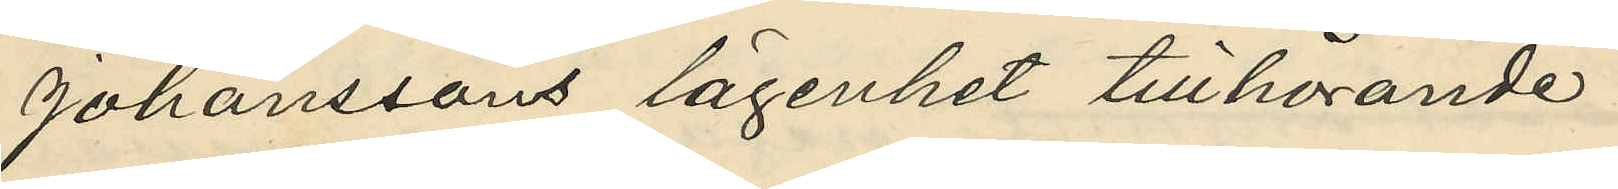Johanssons lägenhet tillhörande
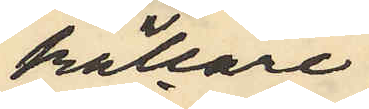källare¬
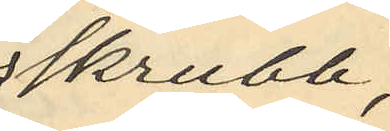skrubb,
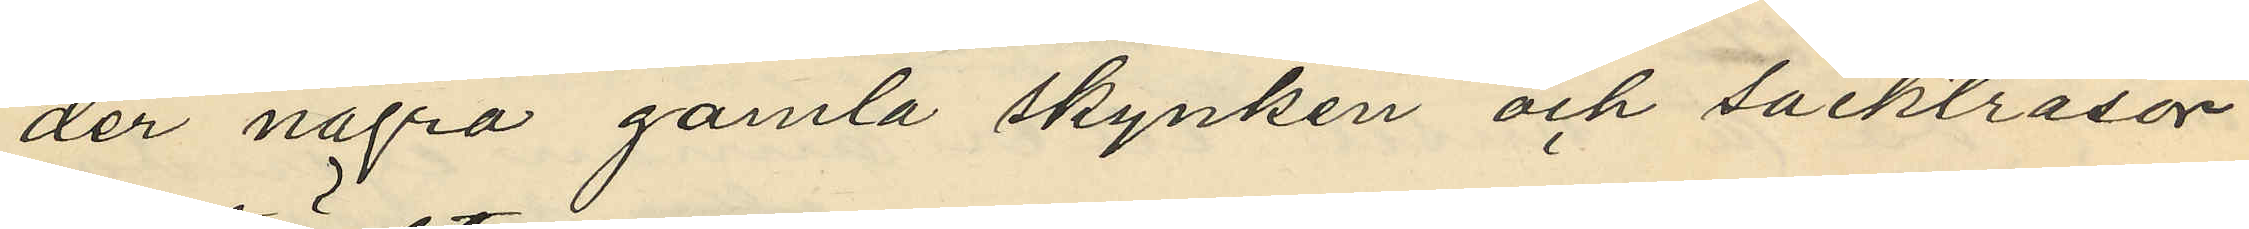der några gamla skynken och säcktrasor
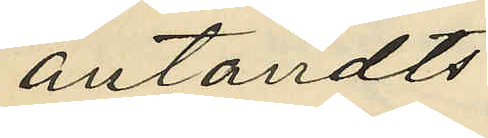antändts;
